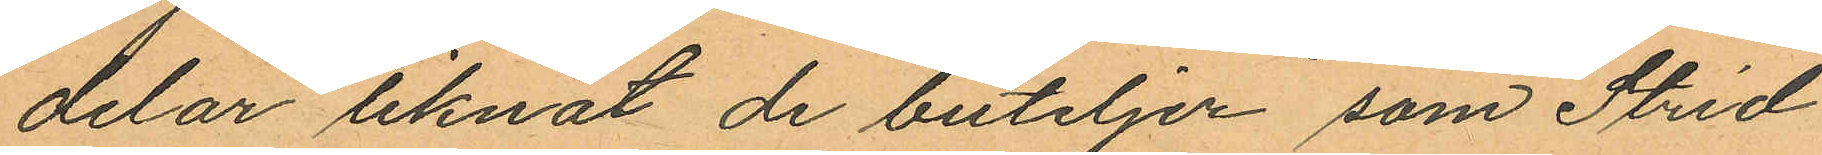delar liknat de buteljer som Strid
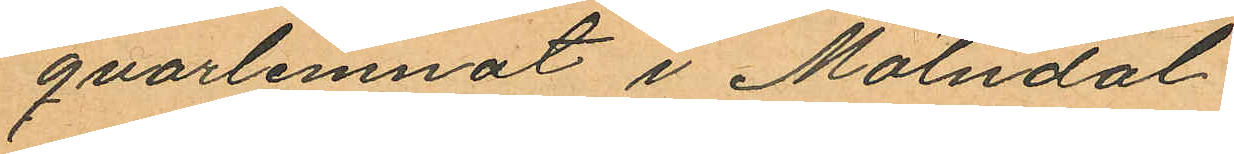qvarlemnat i Mölndal.
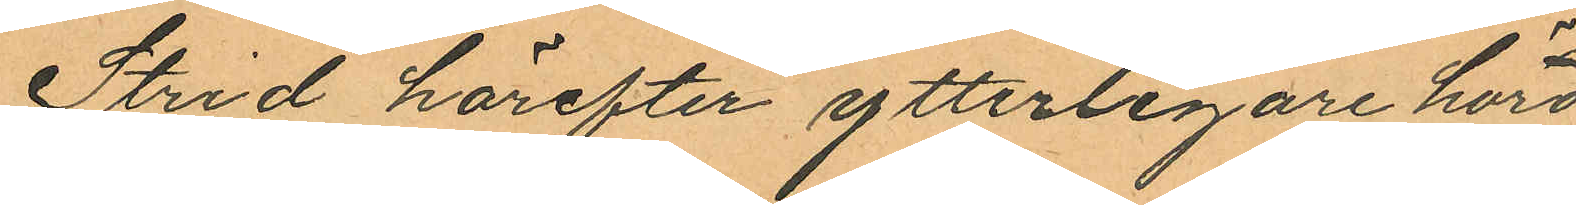Strid härefter ytterligare hörd
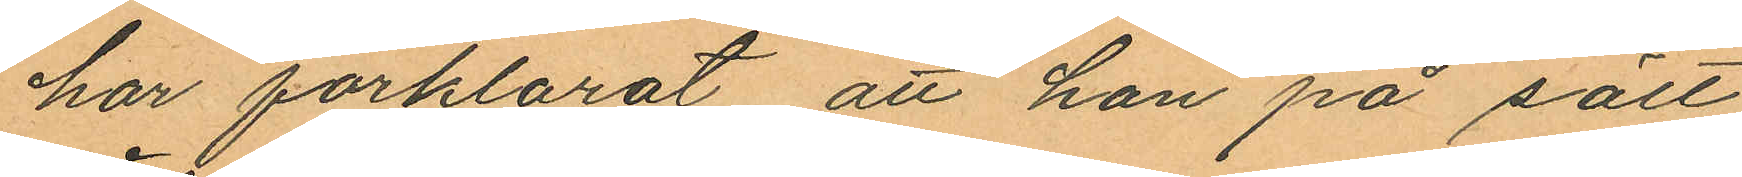har förklarat att han på sätt
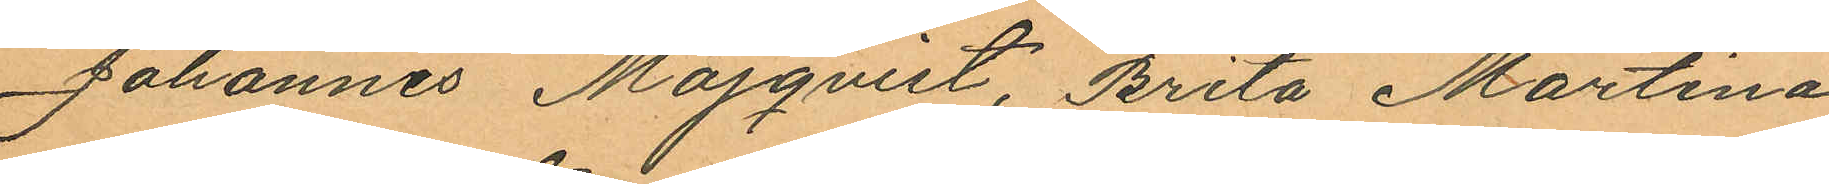Johannes Majqvist, Brita Martina
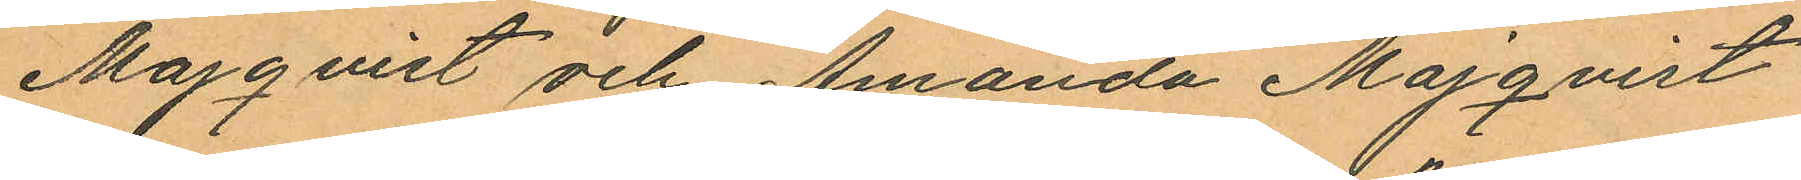Majqvist och Amanda Majqvist
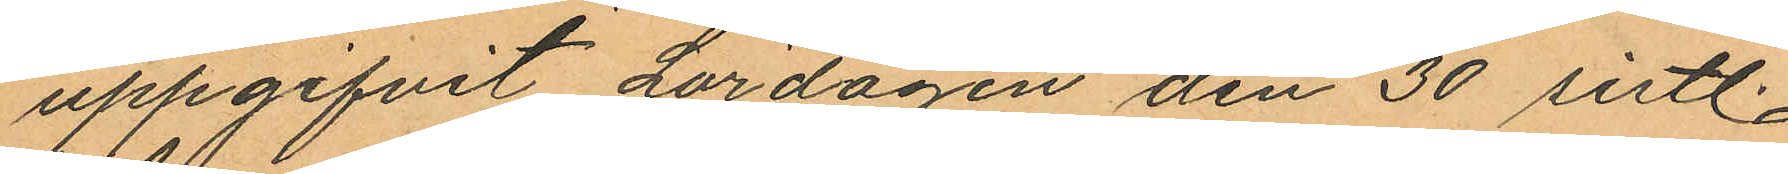uppgifvit Lördagen den 30 sistl.
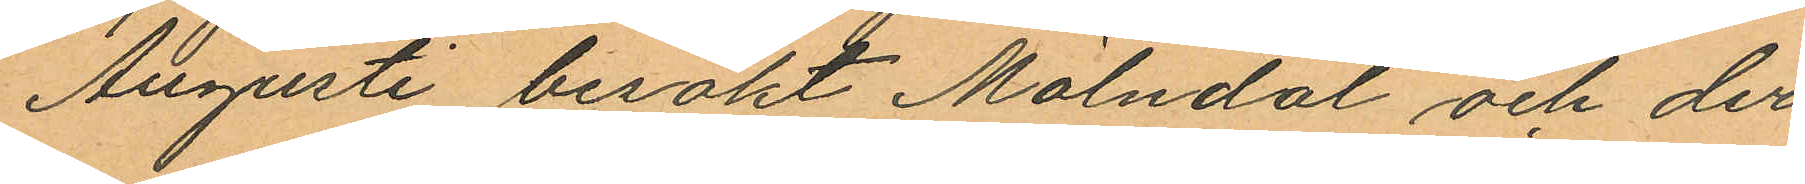Augusti besökt Mölndal och der¬
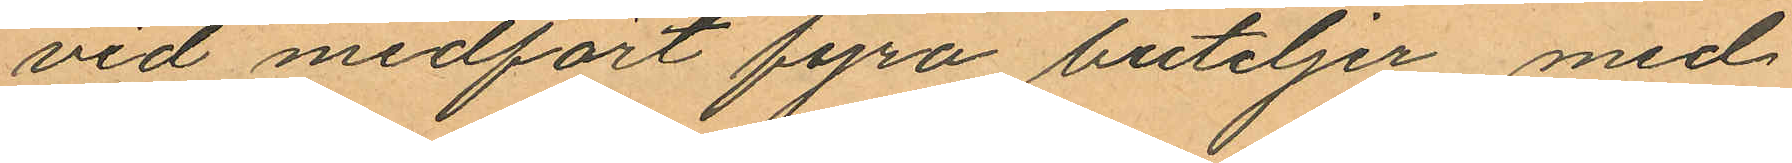vid medfört fyra buteljer med
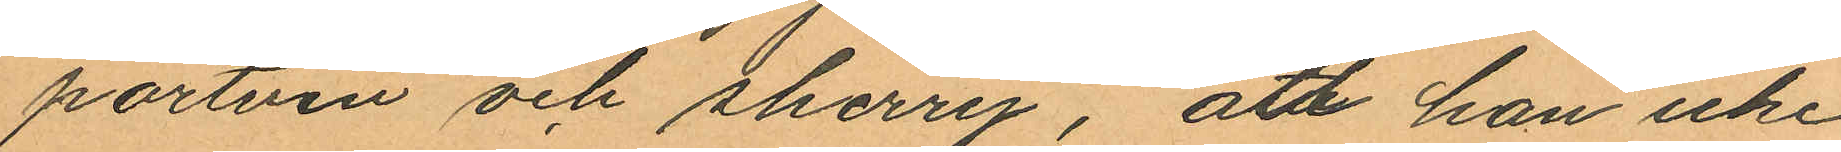portvin och sherry, att han icke
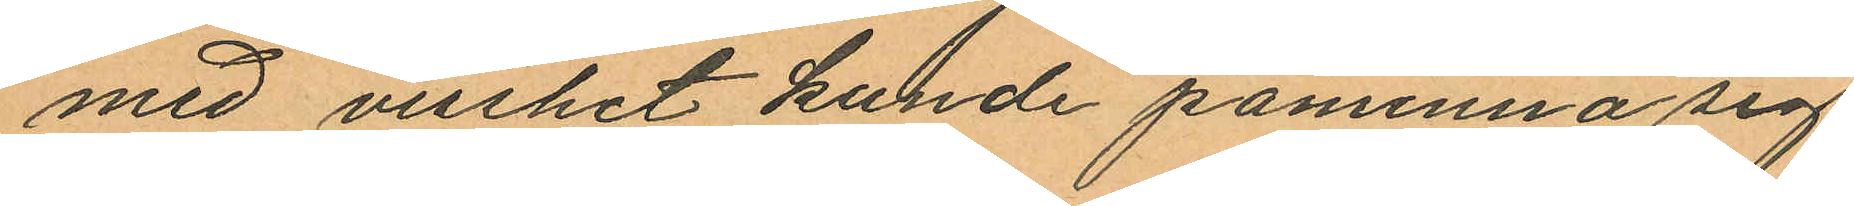med visshet kunde påminna sig
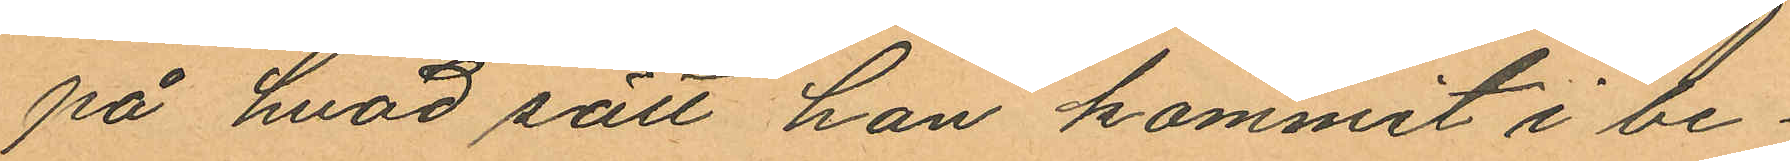på hvad sätt han kommit i be¬
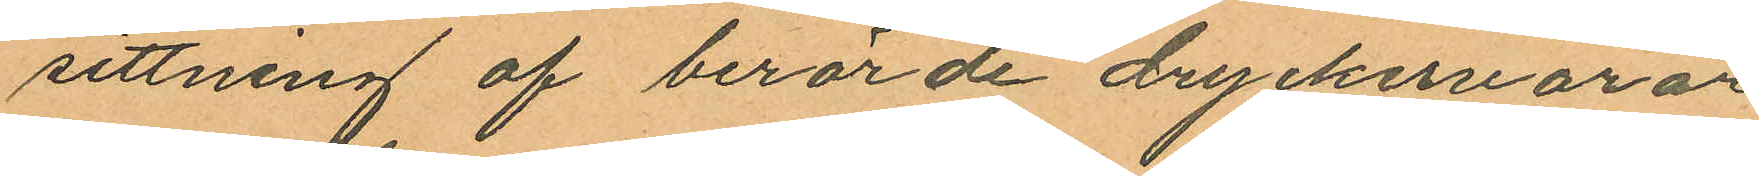sittning af berörde dryckesvaror
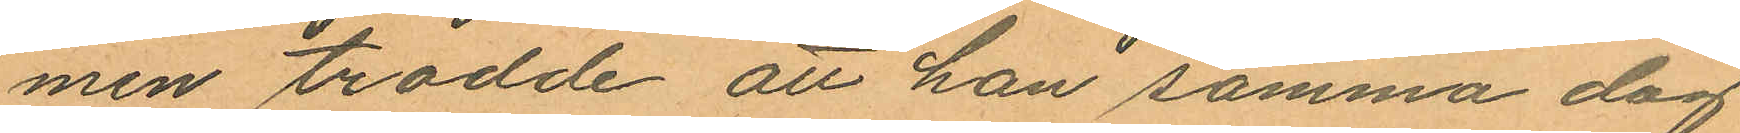men trodde att han samma dag
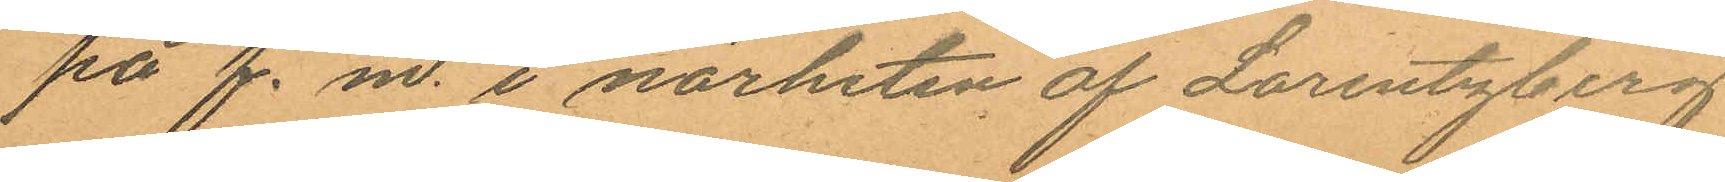på f. m. i närheten af Lorentzberg
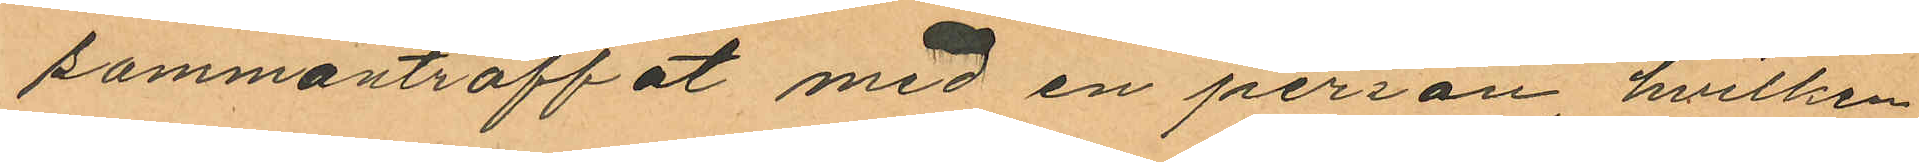sammanträffat med en person, hvilken
